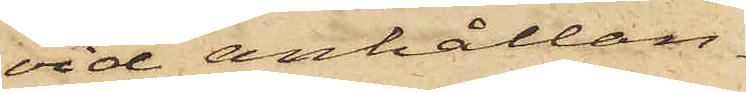vid anhållan¬
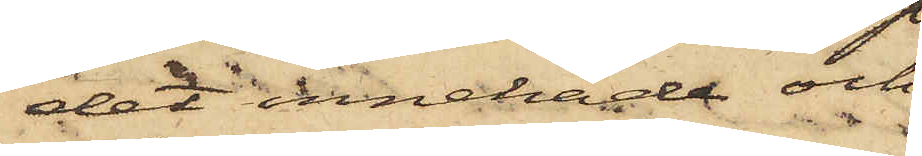det innehade och
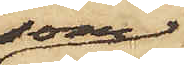som
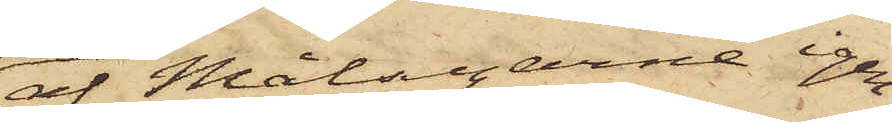af Målsegarne igen¬
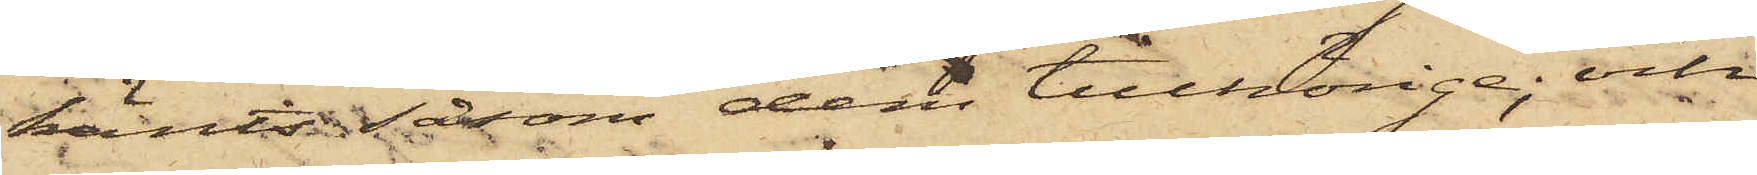känts sånom dem tillhörige; och
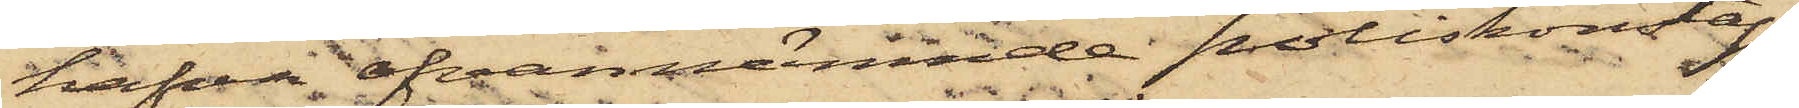hafva ofvannämnde poliskomstap¬
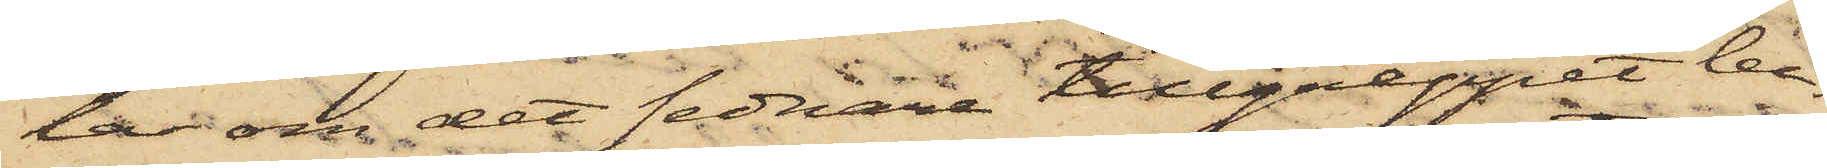lar om det sednare tillgreppet be¬
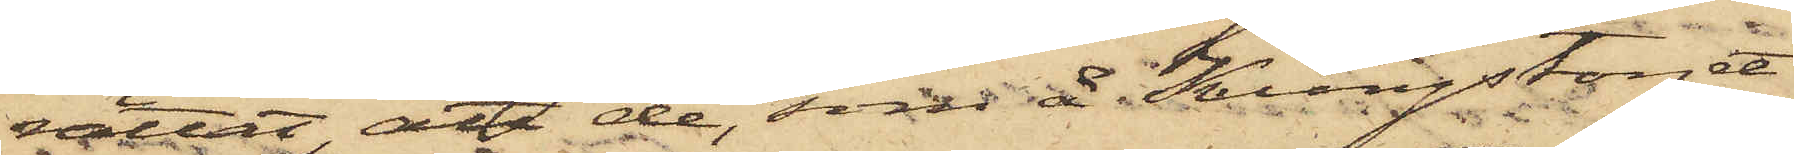rättat, att de, som å Kungstorget
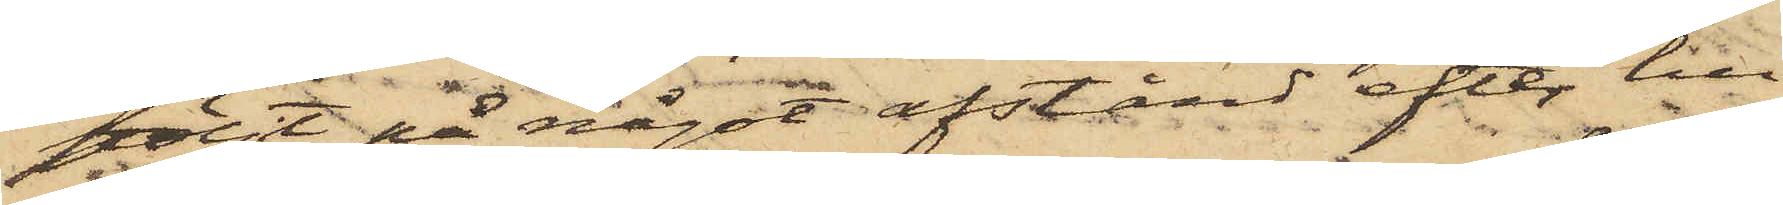följt på något afstånd efter hu¬
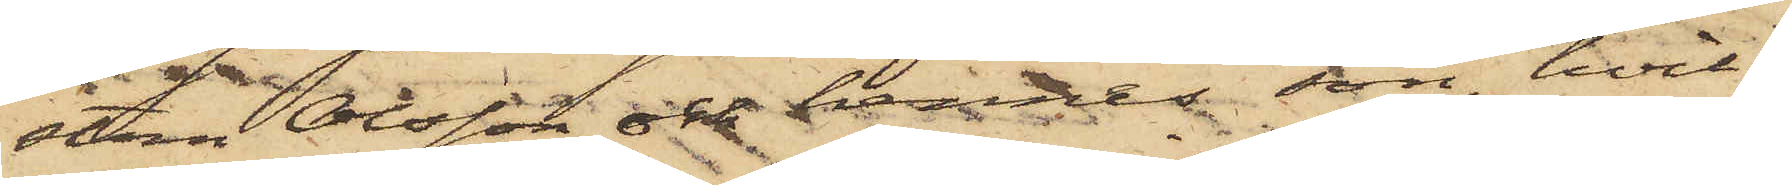stun Olsson och hennes son, hvil¬
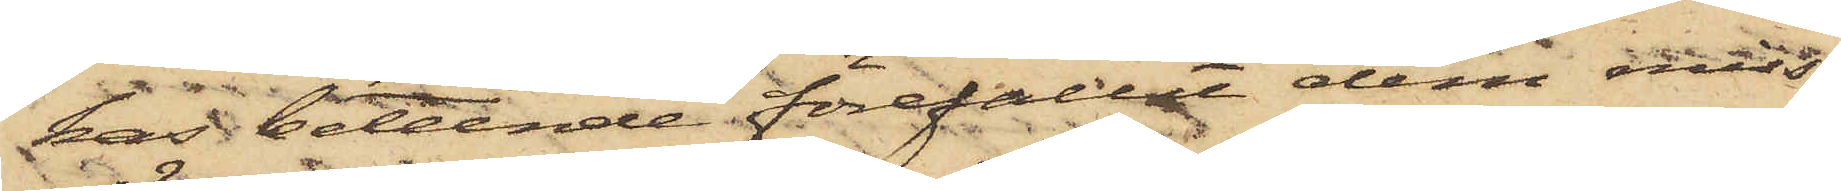fas beteende förefallit dem miss¬
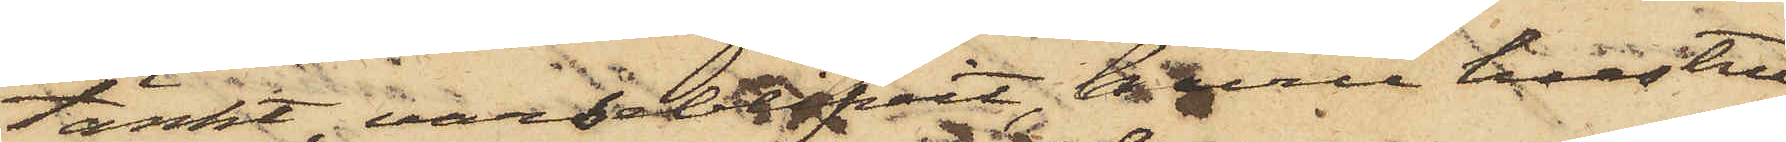tänkt, varseblifvit, huru hustru
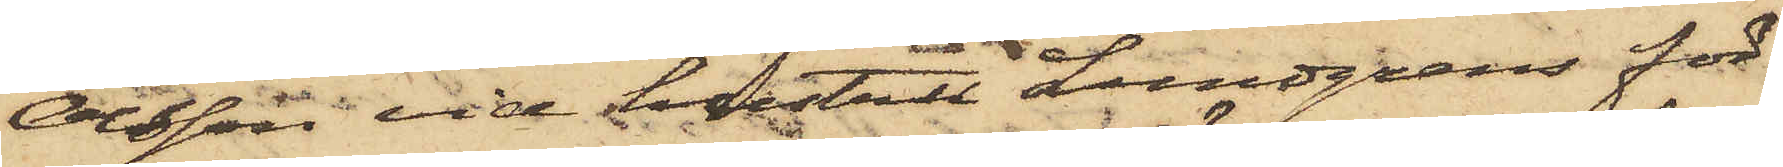Olsson vid hustru Lundgrens för¬
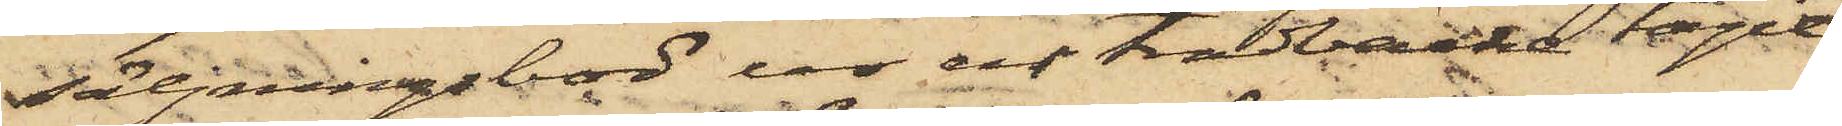säljningsbod ur en trädbacke tagit
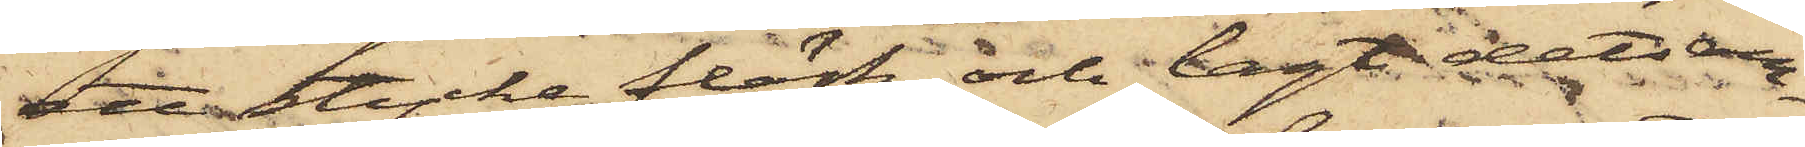ett stycke fläsk och lagt detsam¬
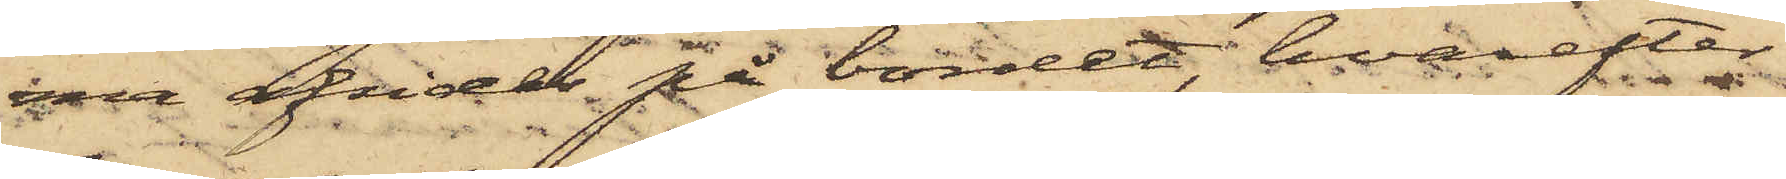ma afsides på bordet, hvarefter
